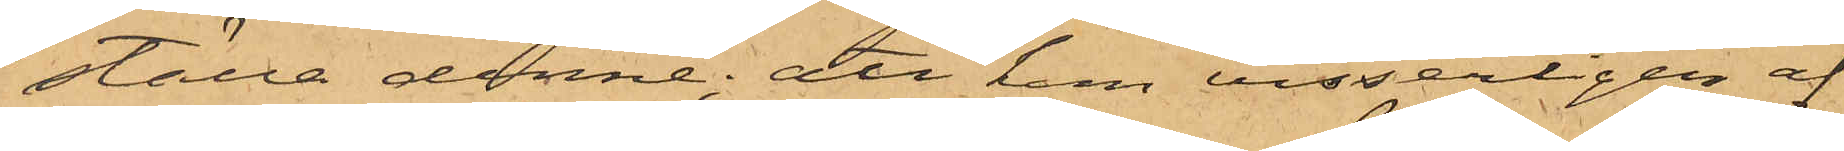ställa denne; att han visserligen af
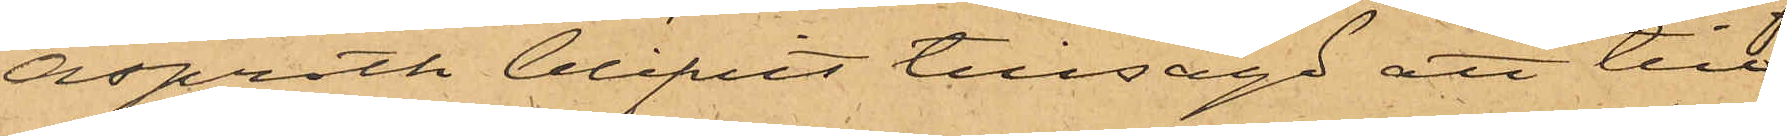Asproth blifvit tillsagd att till
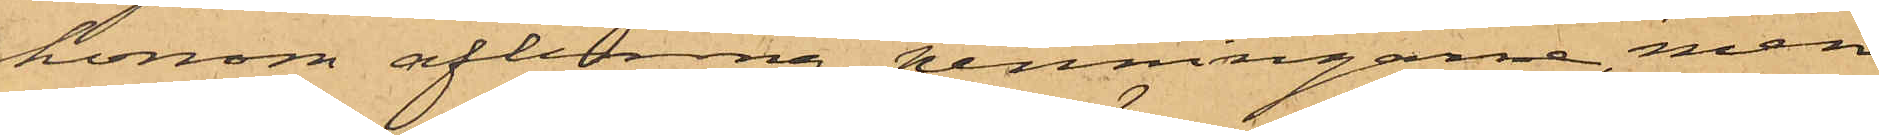honom aflemna penningarne, men
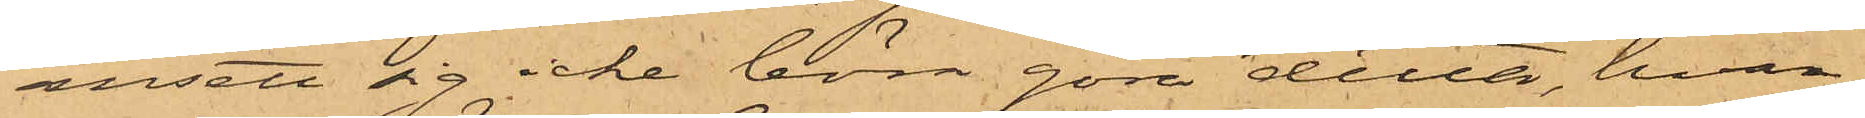ansett sig icke behöva göra detta, hvar¬
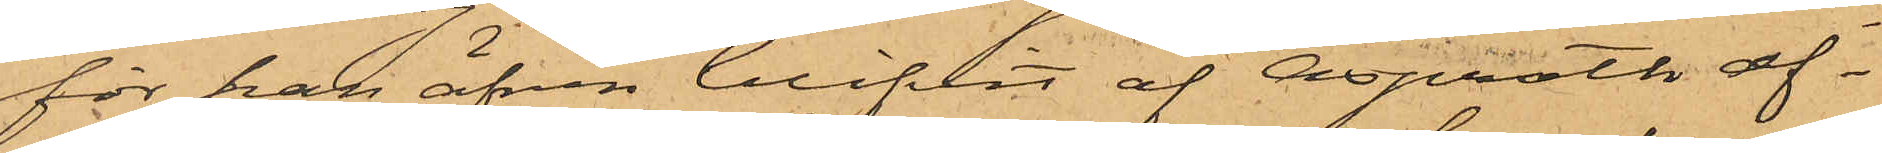för han äfven blifvit af Asproth af¬
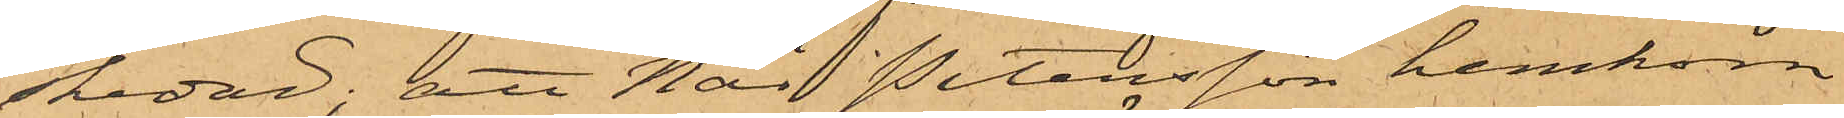skedad; att när Petersson hemkom
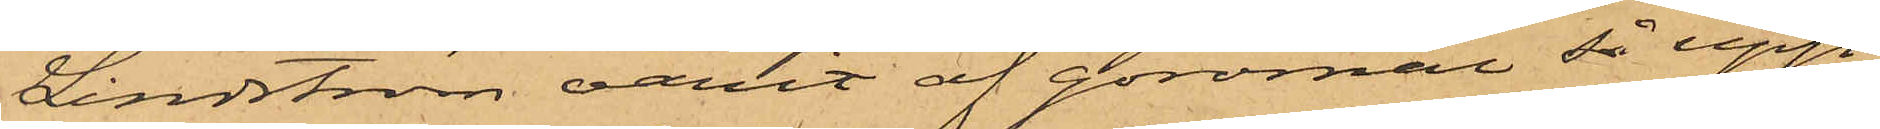Lindström varit af göromål så upp¬
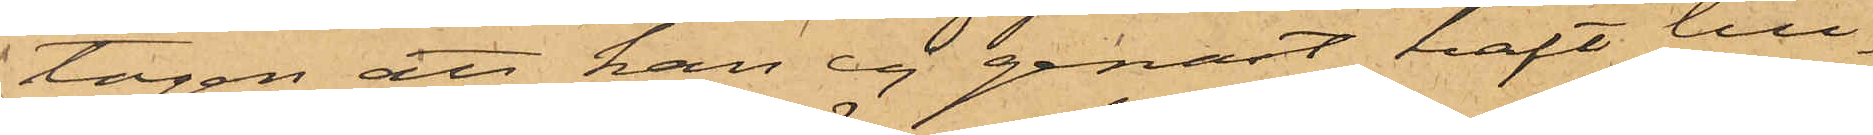tagen att han ej genast haft till¬
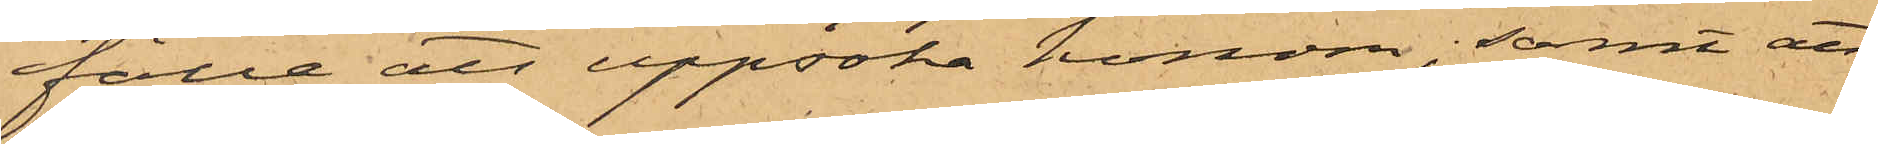fälle att uppsöka honom; samt att
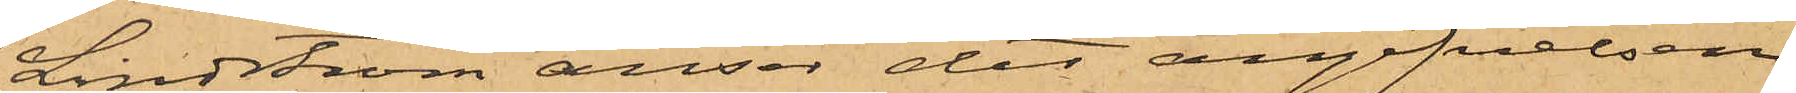Lindström anser det angifvelsen
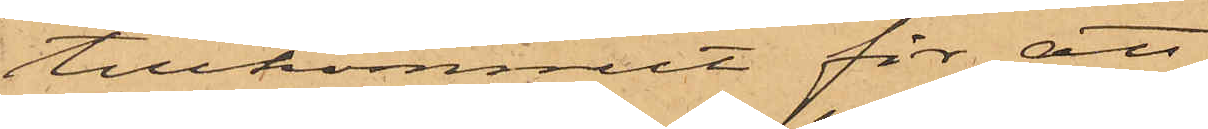tillkommit för att
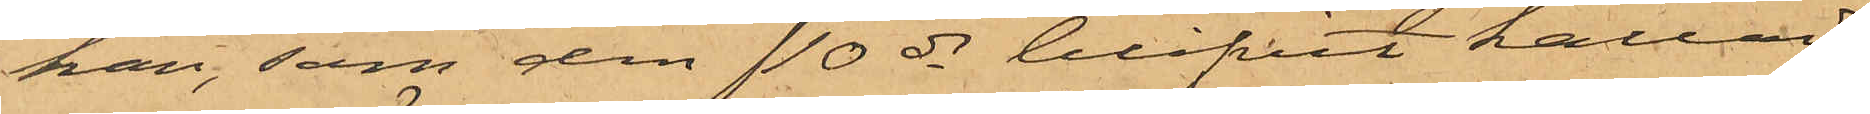han, som den 10 ds blifvit kallad
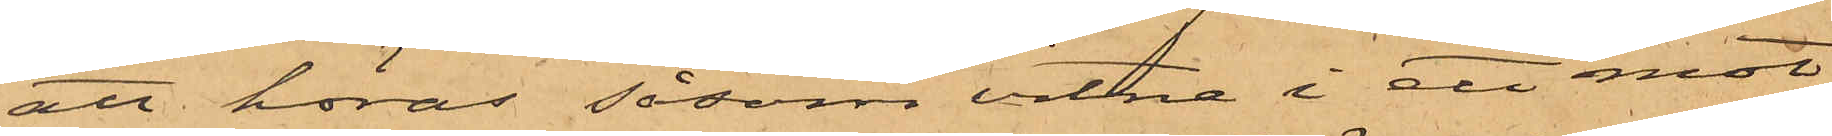att höras såsom vitne i ett mot
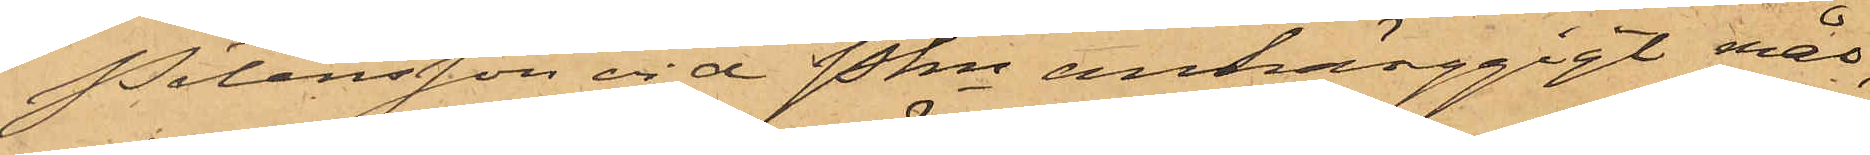Petersson vid Pkn anhänggigt mål,
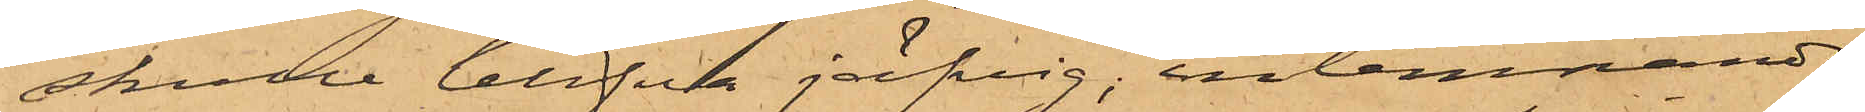skulle blifva jäfvig, inlemnande
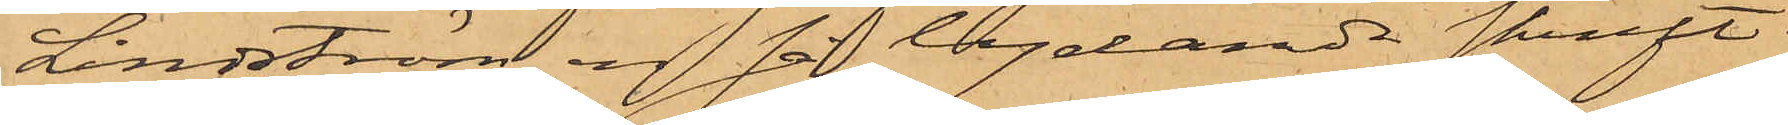Lindström en så lydande skrift:
